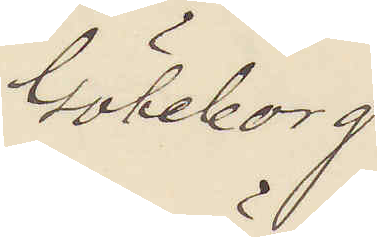Göteborg
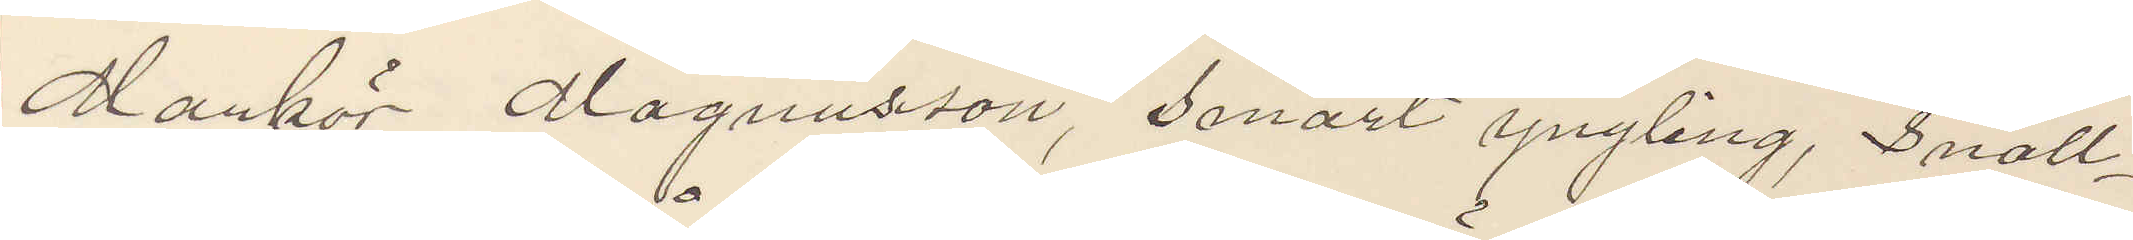Mankör Magnusson, smärt yngling, snäll¬
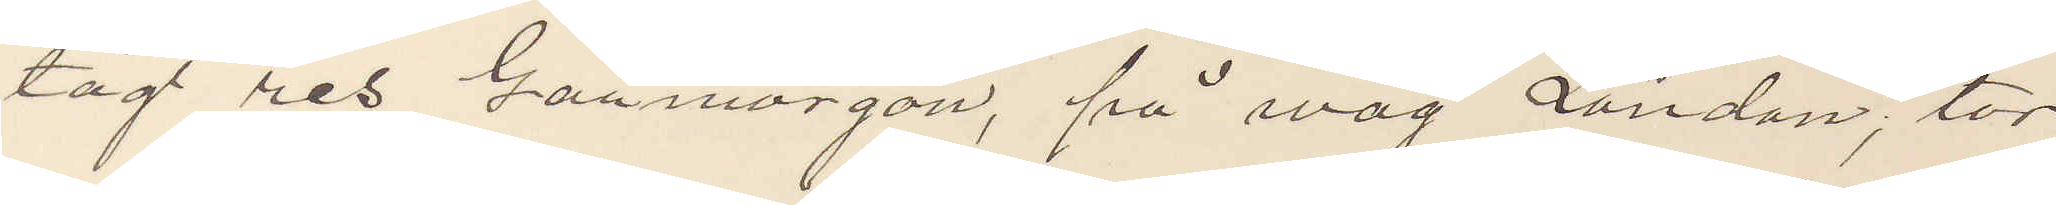tåg res Gårmorgon, på wäg London; tor¬
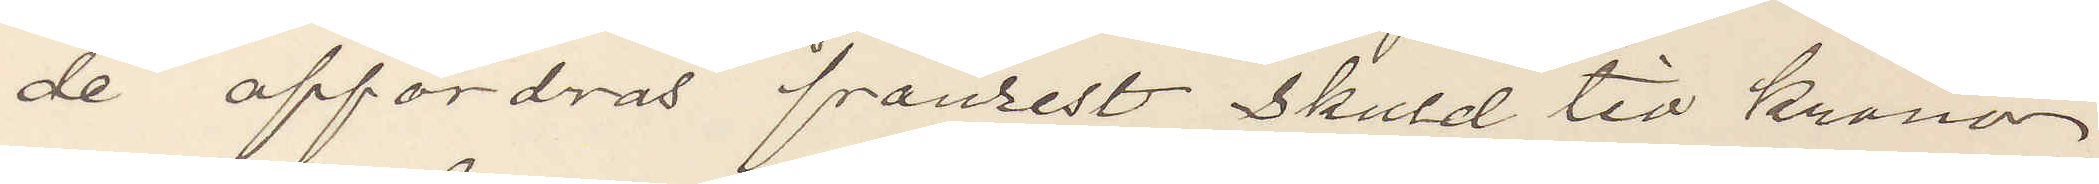de affordras frånrest skuld tio kronor
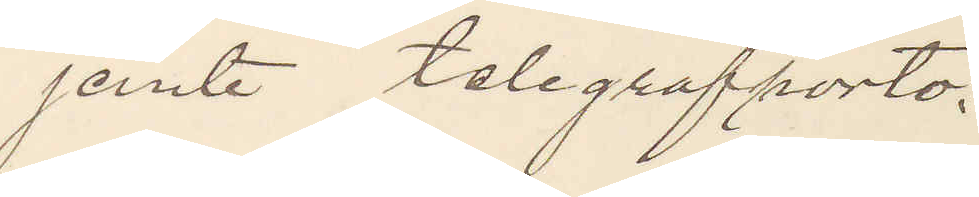jemte telegrafporto.
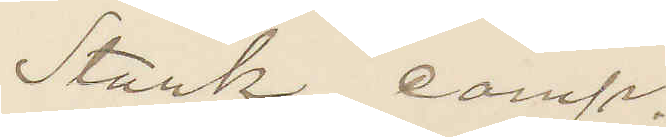Stark comp.
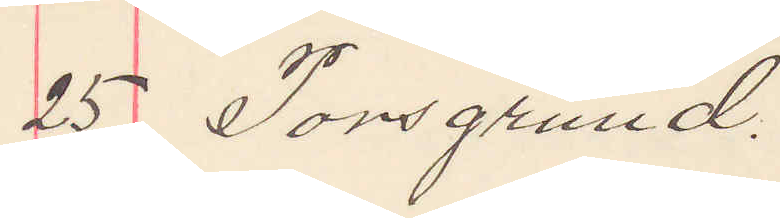25 Porsgrund.
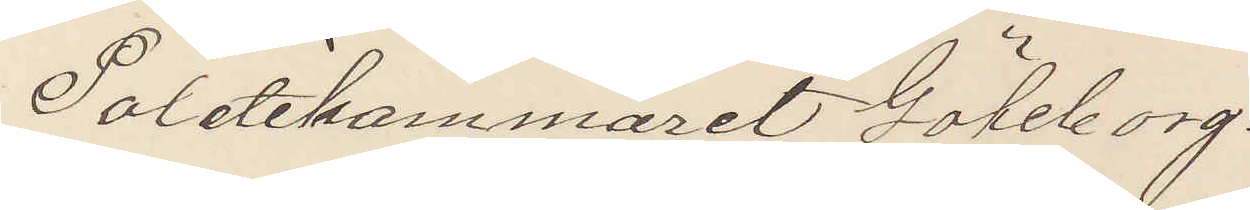Politikammeret Göteborg.
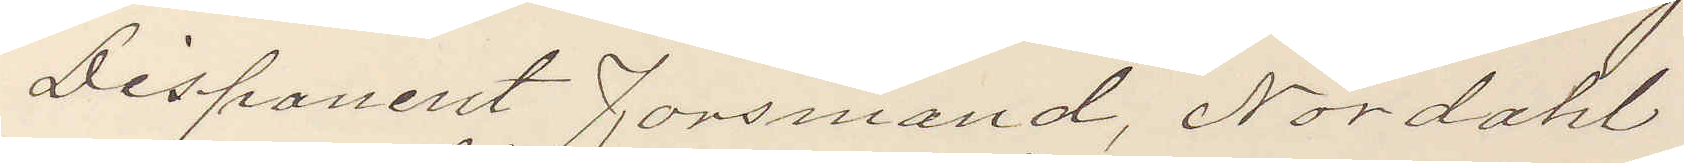Disponent Fonsmand, Nordahl
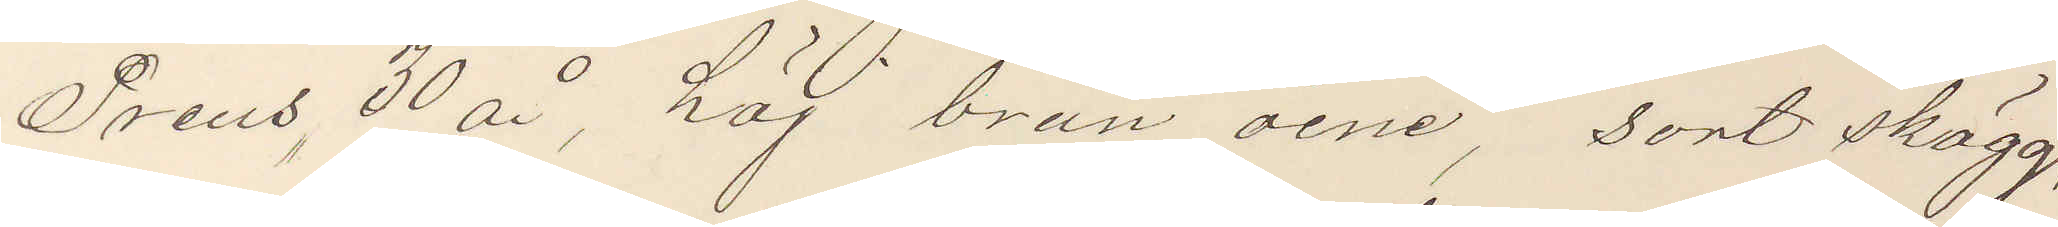Preus, 30 år, höj brun öine, sort skägg,
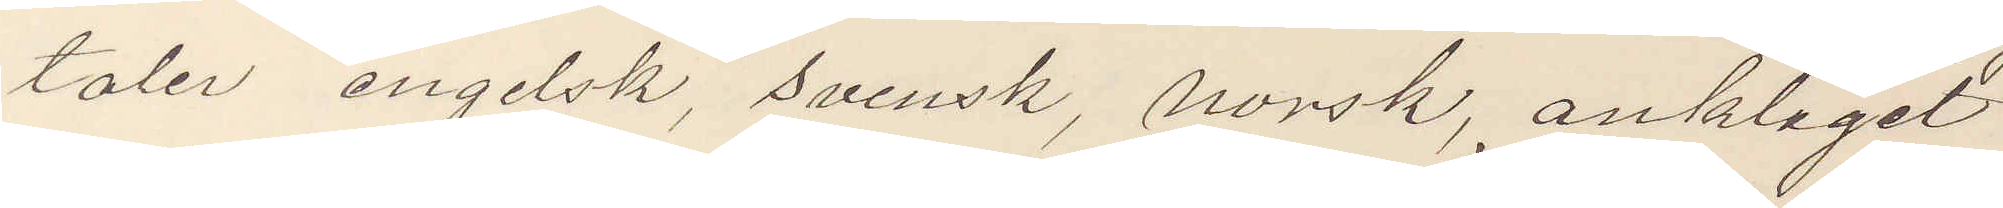taler engelsk, svensk, norsk, anklaget
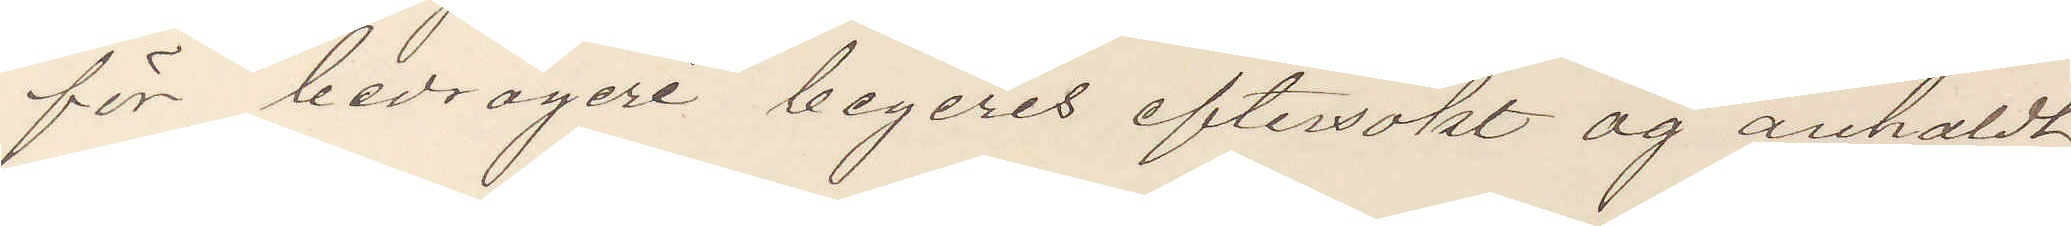för bedrägeri begeres eftersökt og anholdt,
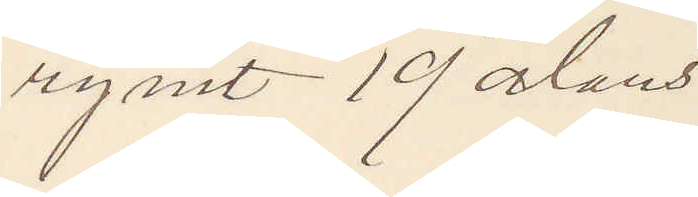rymt 19 alens.
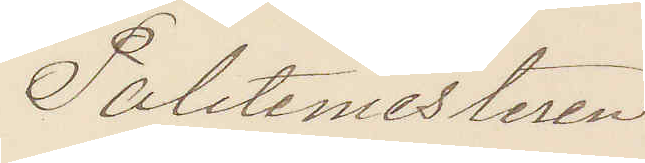Politimesteren.
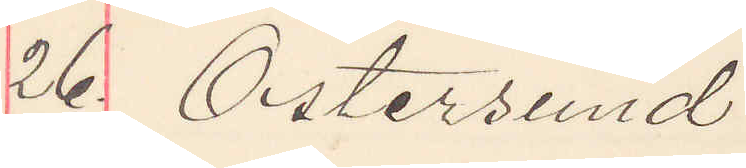26. Östersund
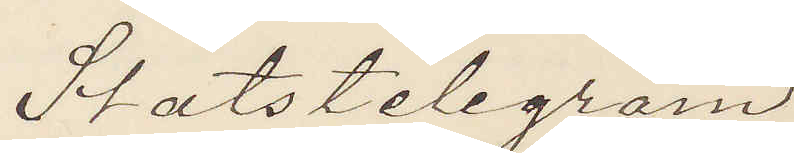Statstelegram
